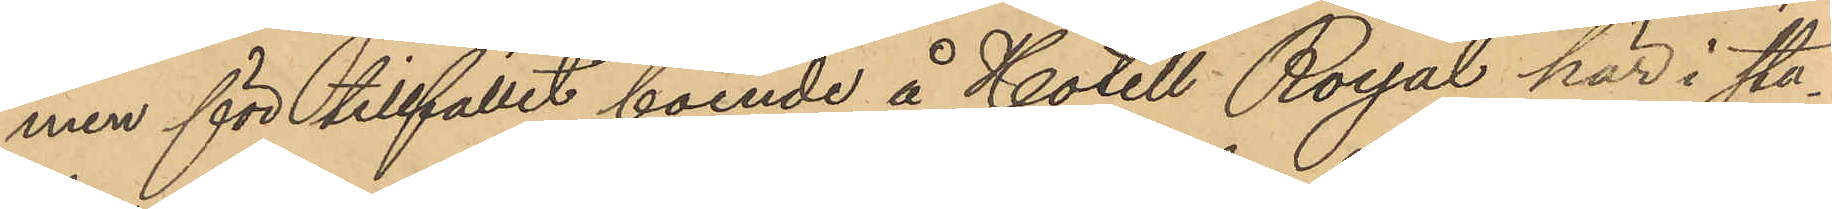men för tillfället boende å Hotell Royal här i sta¬
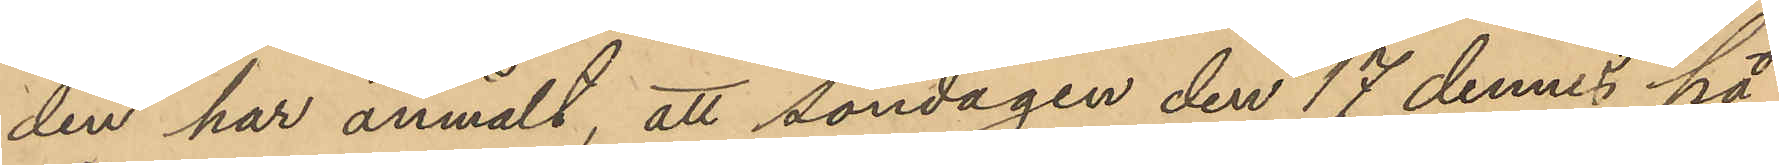den har anmält, att söndagen den 17 dennes på
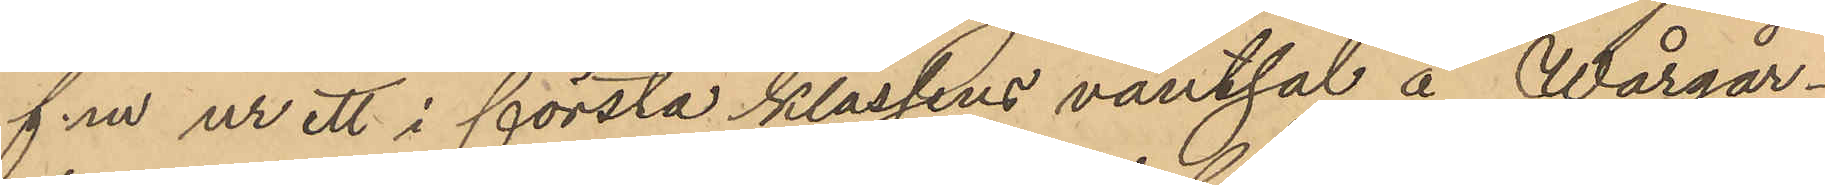f.m ur ett i första klassens väntsal å Wårgår¬
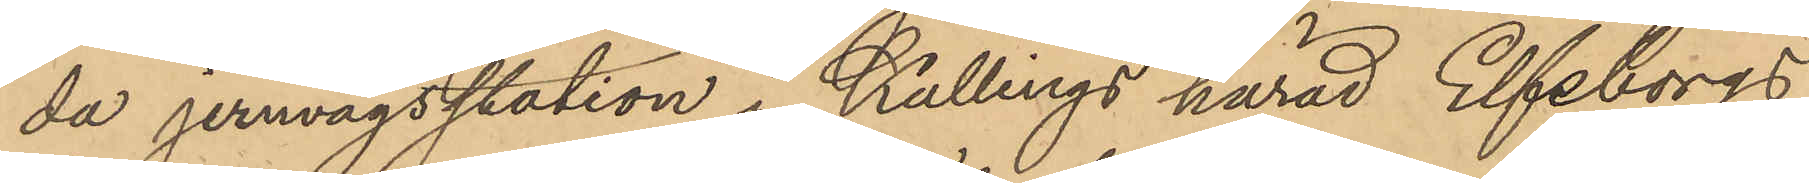da jernvägsstation i Kallings härad Elfsborgs
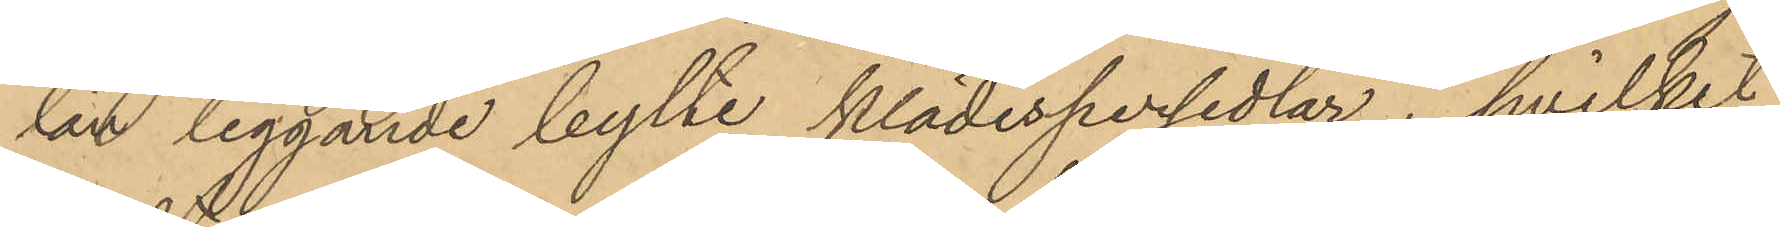län liggande bylte klädespersedlar, hvilket
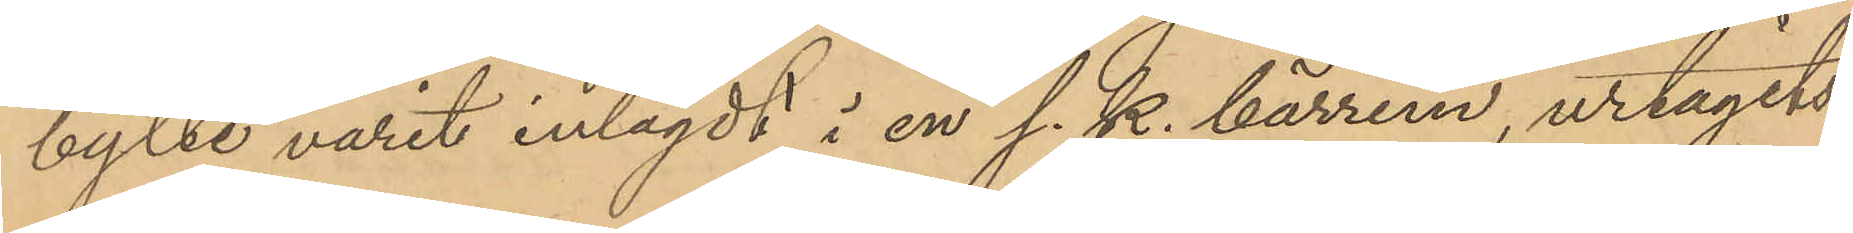bylte varit inlagdt i en s. k. bärrem, urtagits
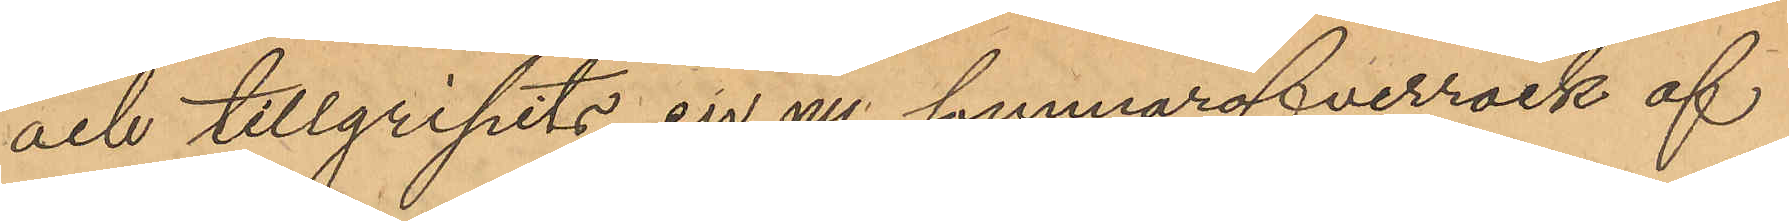och tillgripits en ny sommaröfverrock af
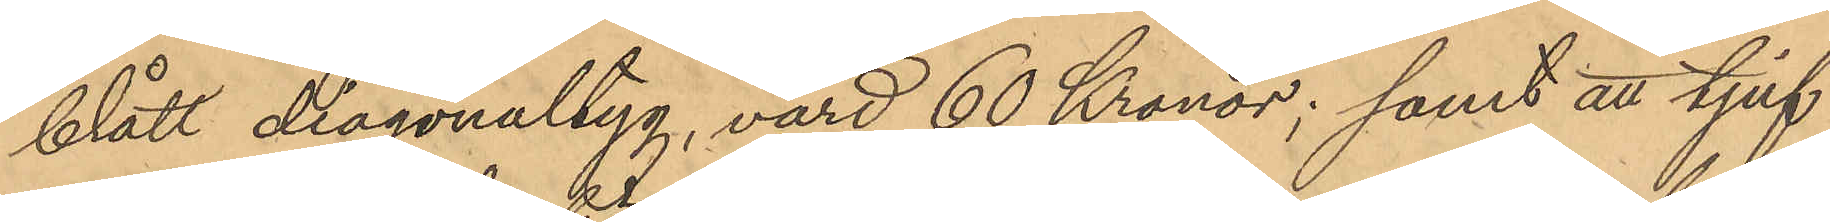blått diagonaltyg, värd 60 Kronor; samt att tjuf¬
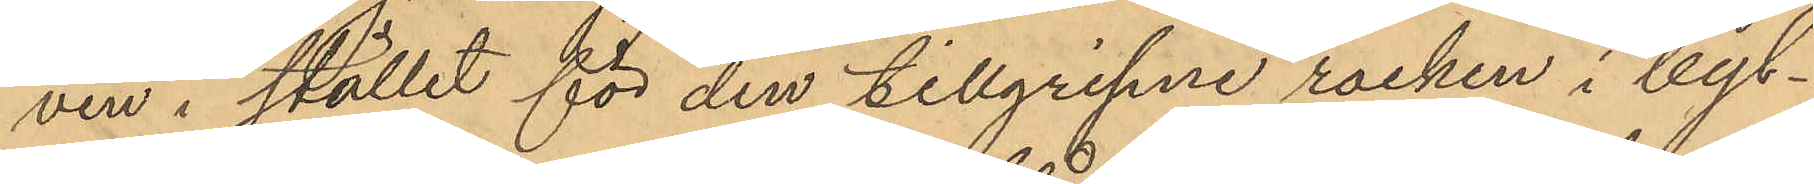ven i stället för den tillgripne rocken i byl¬
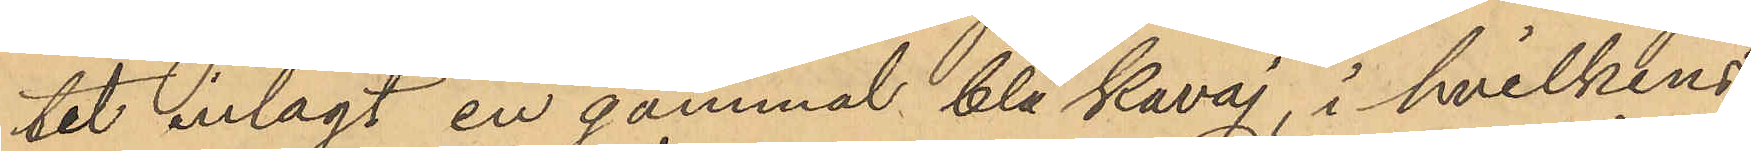tet inlagt en gammal blå kavaj, i hvilkens
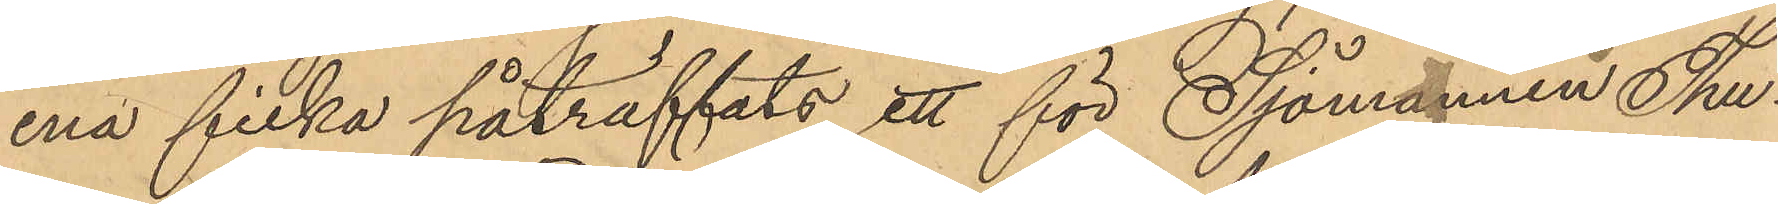ena ficka påträffats ett för Sjömannen Thu¬
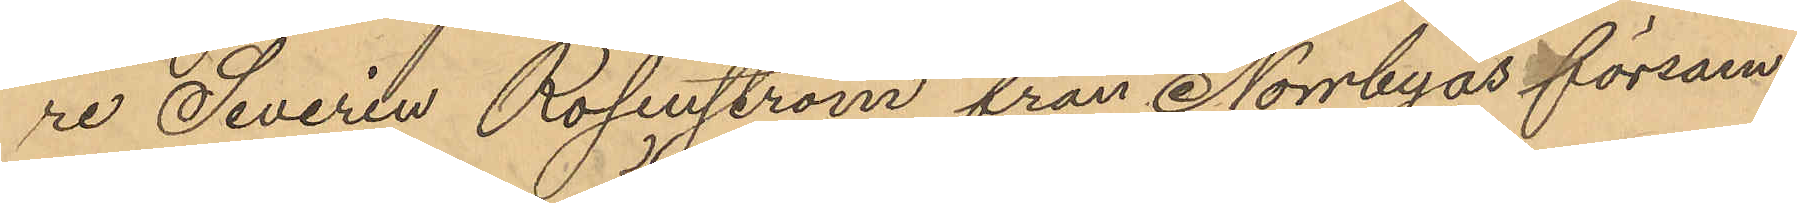re Severin Rosenström från Norrbyås försam¬
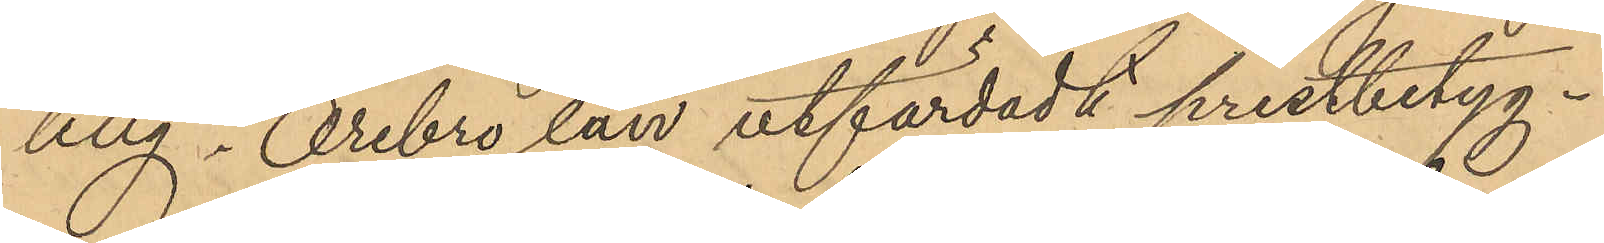ling i Örebro län utfärdadt prestbetyg.
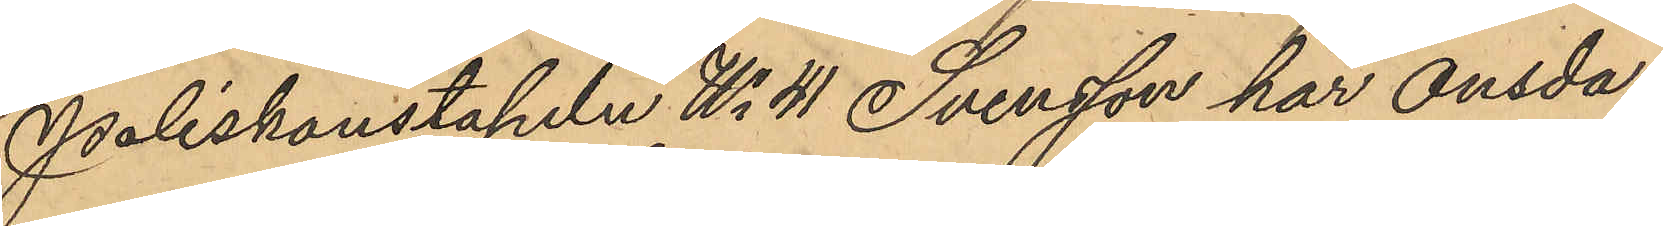Poliskonstapeln No 41 Svensson har onsda¬
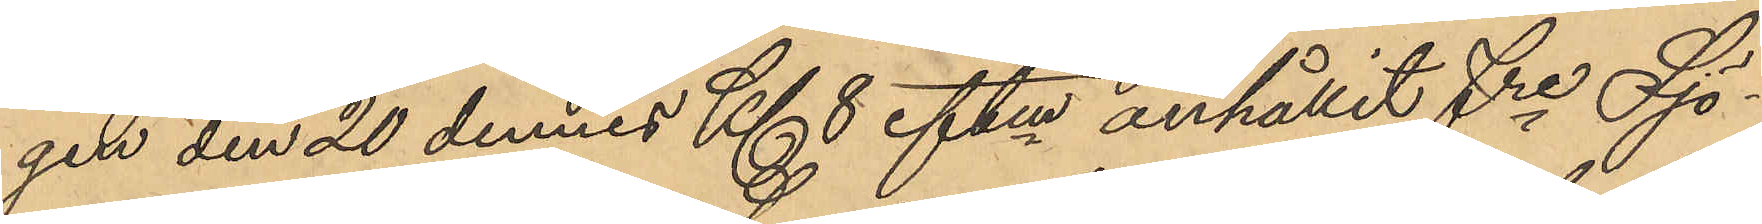gen den 20 dennes Kl. 8 eftm anhållit fre Sjö¬
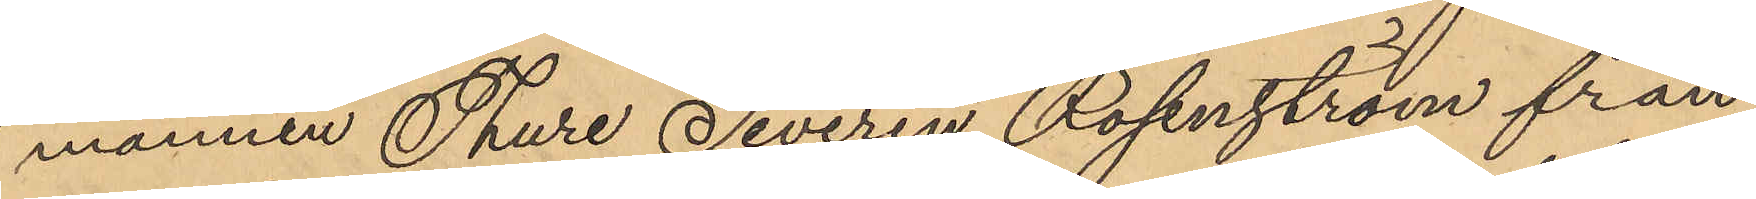mannen Thure Severin Rosenström från
